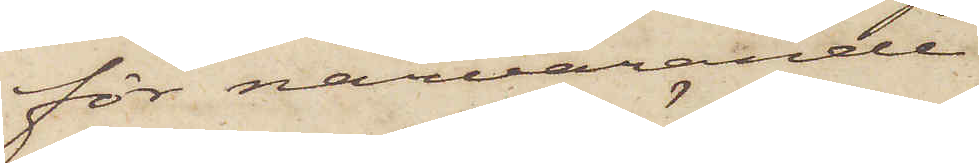för närvarande
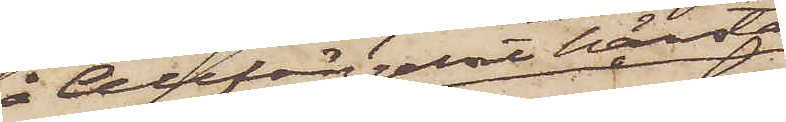å Cellfängelset härstädes
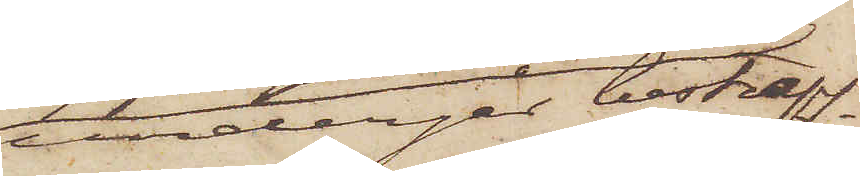undergår bestraff¬
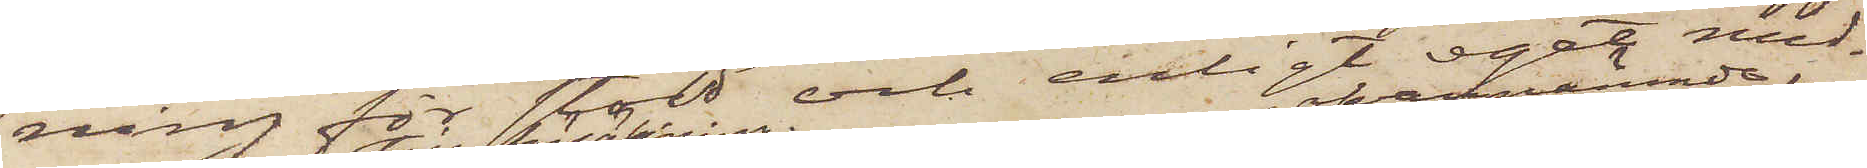ning för stöld och enligt eget med¬
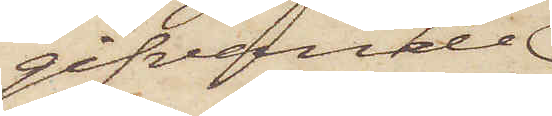gifvande
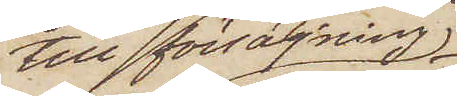till försäljning
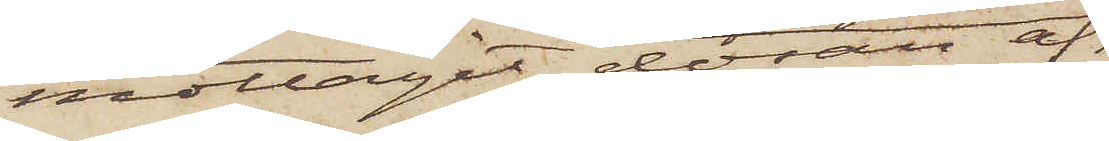mottagit dosan af
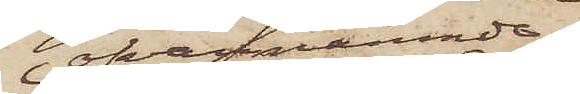ofvannämnde
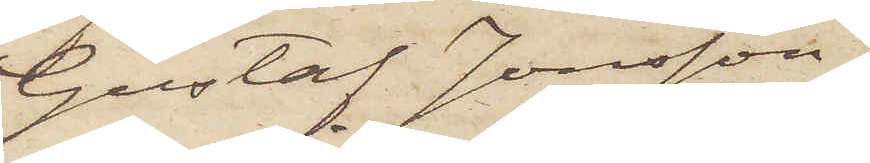Gustaf Jonsson,
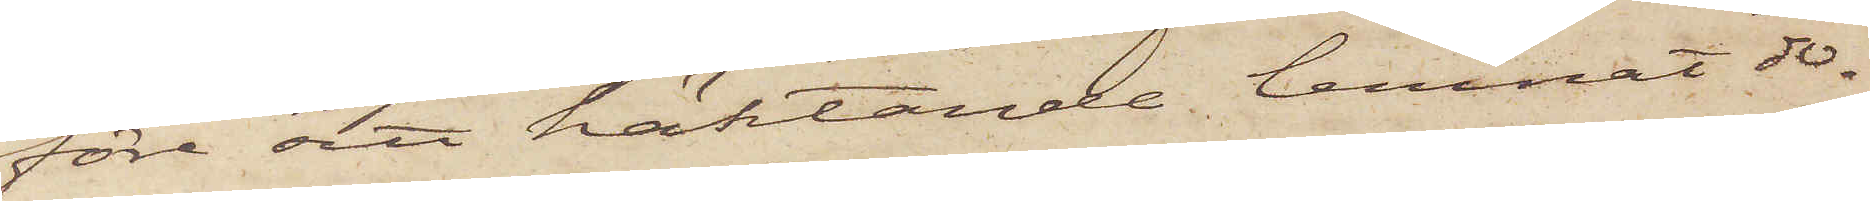före sitt häktande lemnat do¬
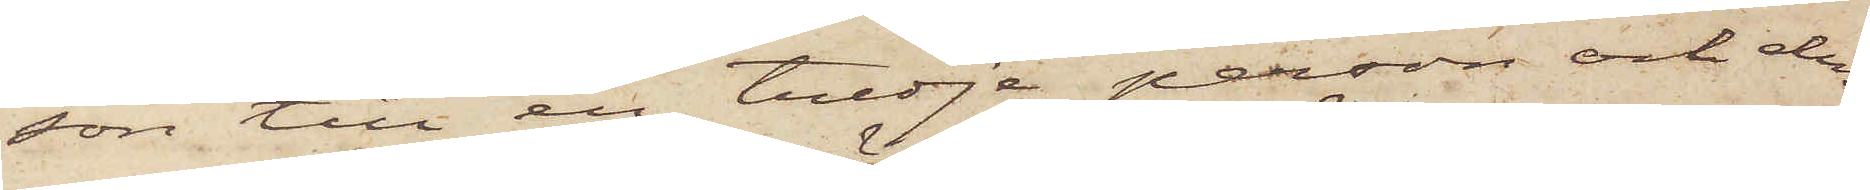san till en tredje person och den¬
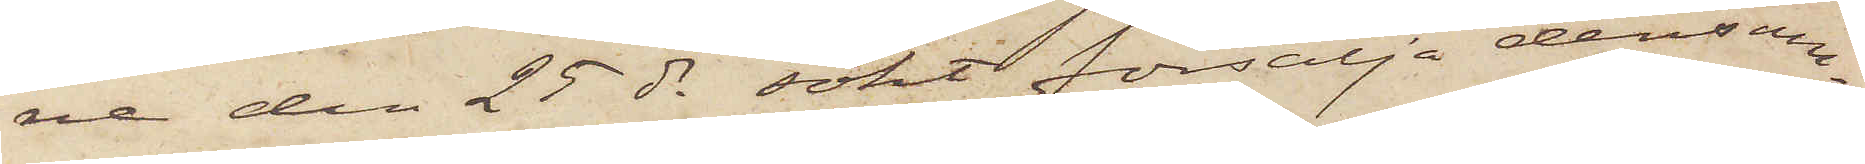ne den 25 ds sökt försälja densam¬
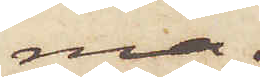ma.
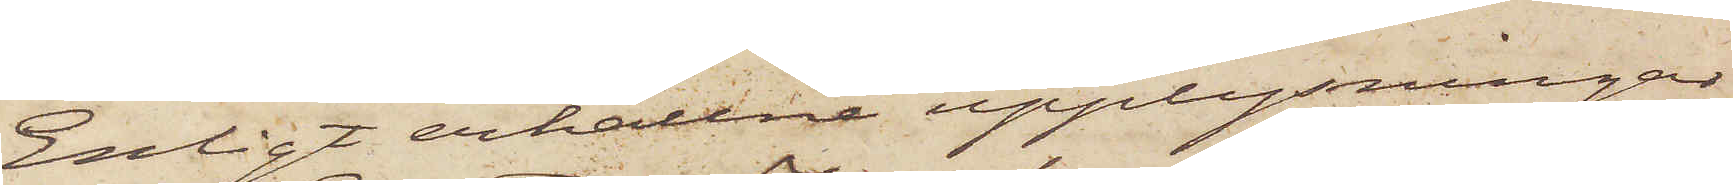Enligt erhållne upplysningar
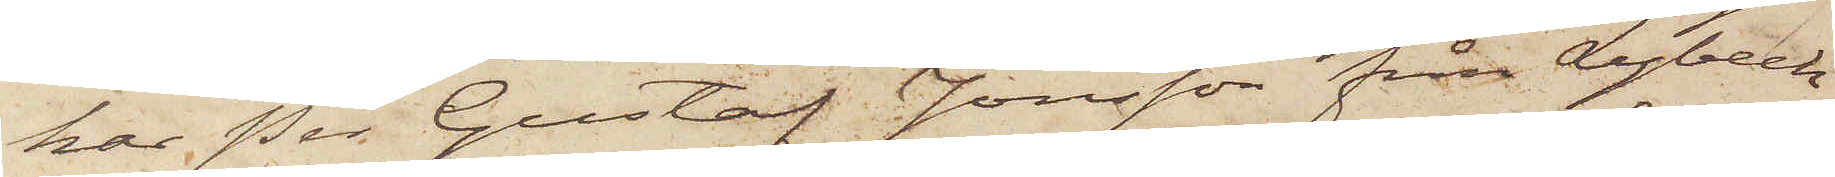har Per Gustaf Jonsson från Lybeck
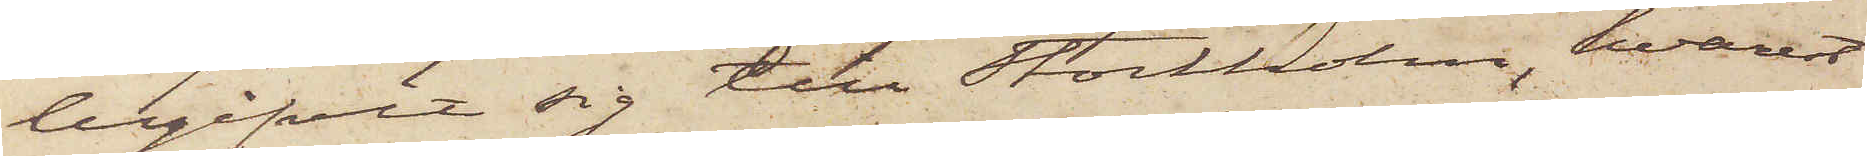begifvit sig till Stockholm, hvarest
